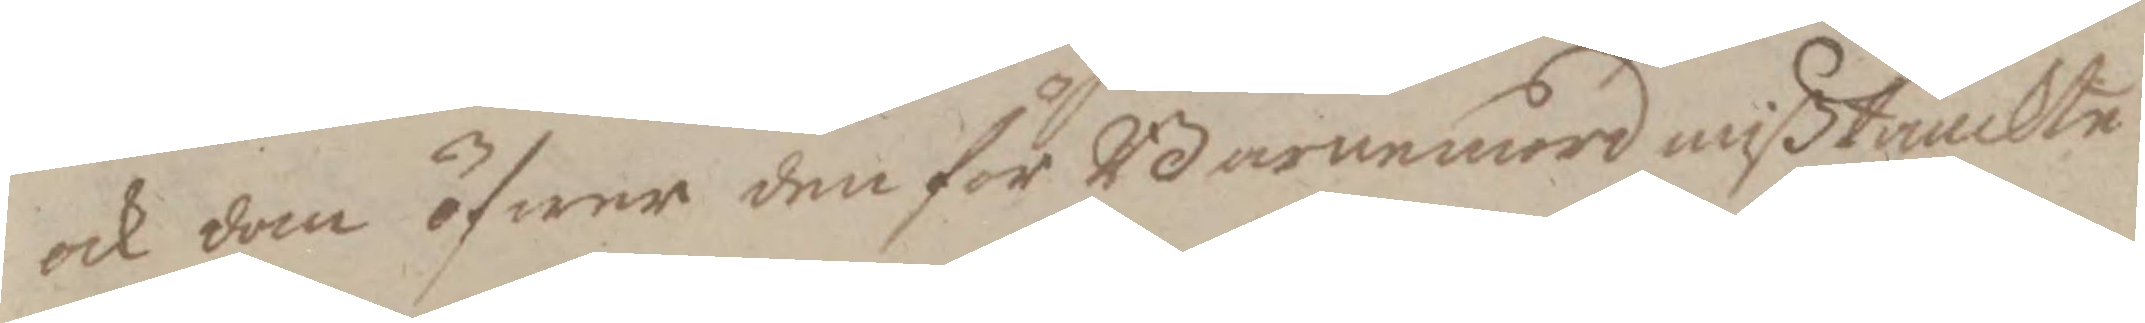och dom öfwer den för Barnamord mißtänckte
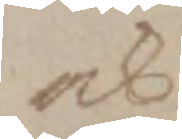och
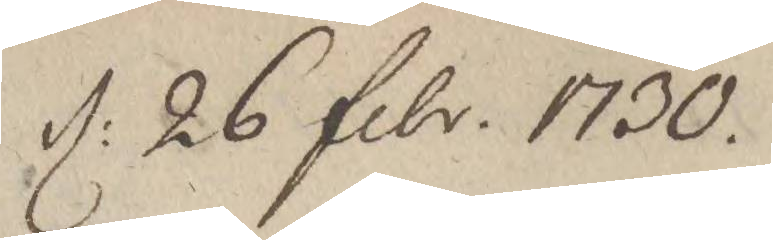d: 26 febr. 1730.
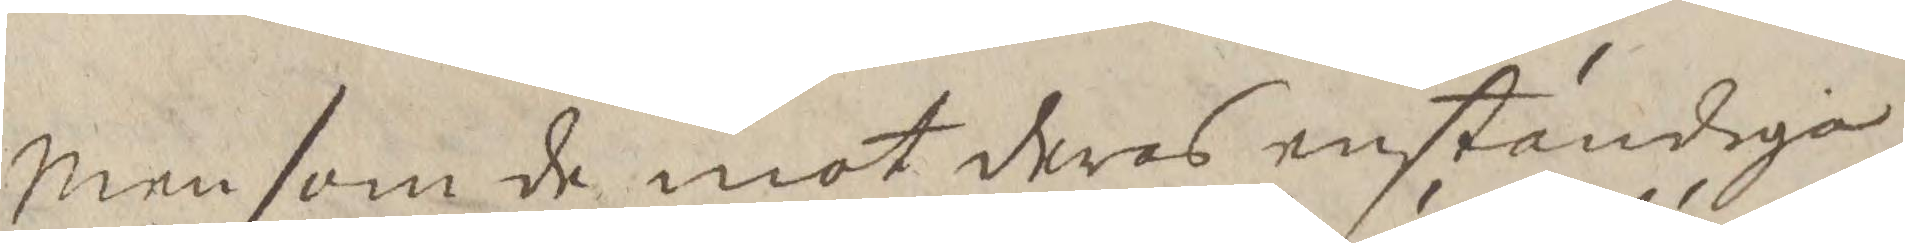Men som de mot  deras enständiga
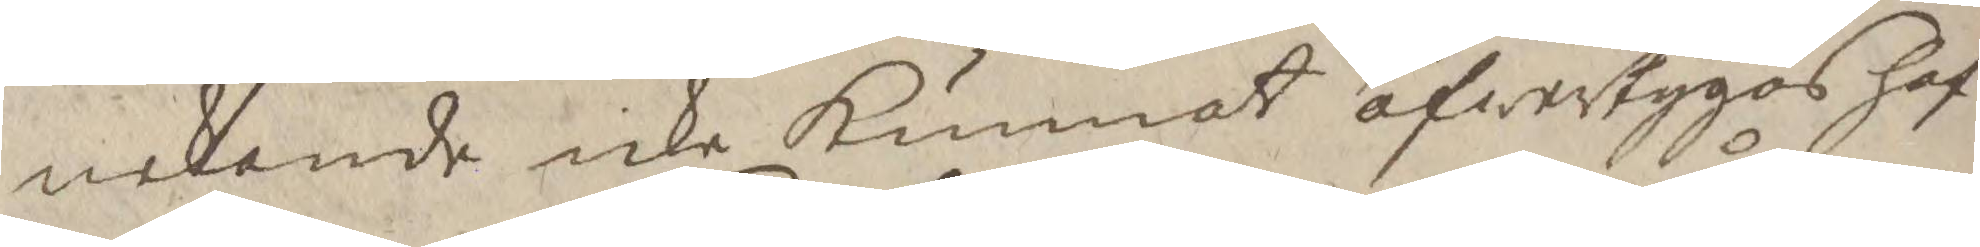nekande icke kunnat öfwertygas haf¬
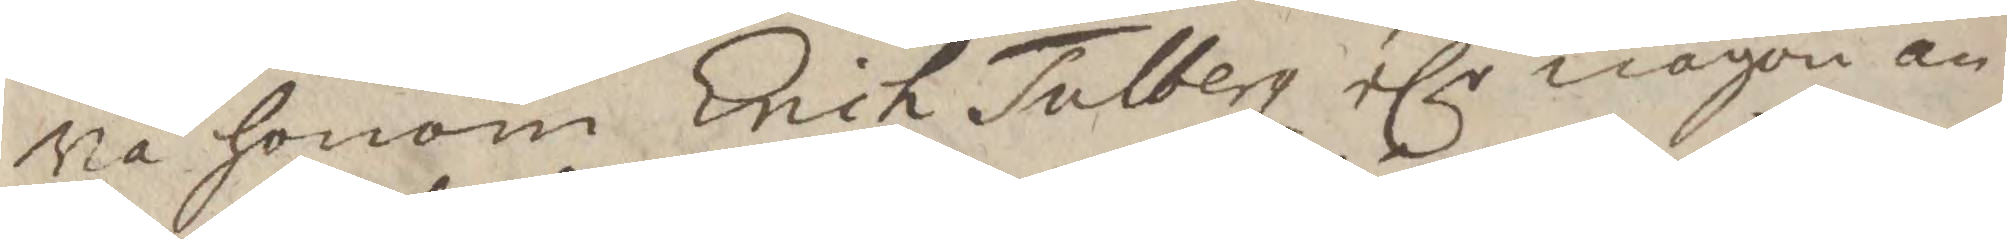wa honom Erich Tolberg elr någon an¬
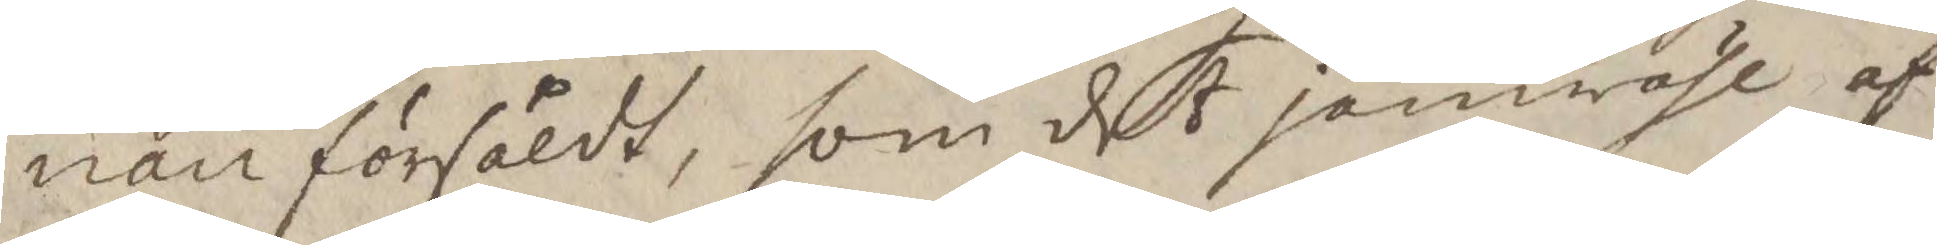nan försåldt, som det jämwähl af
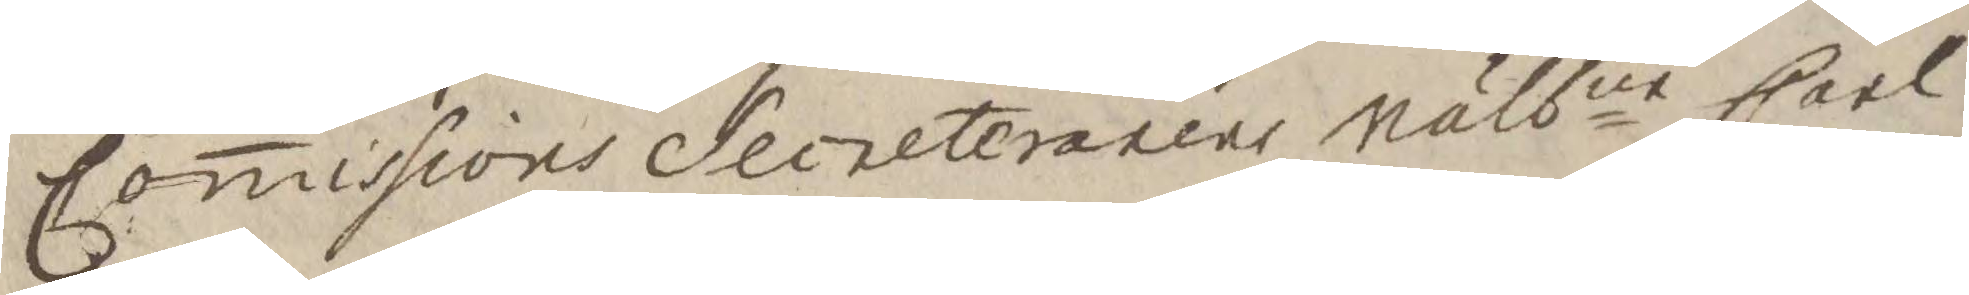Comissions Secreteraren Wälbne Carl
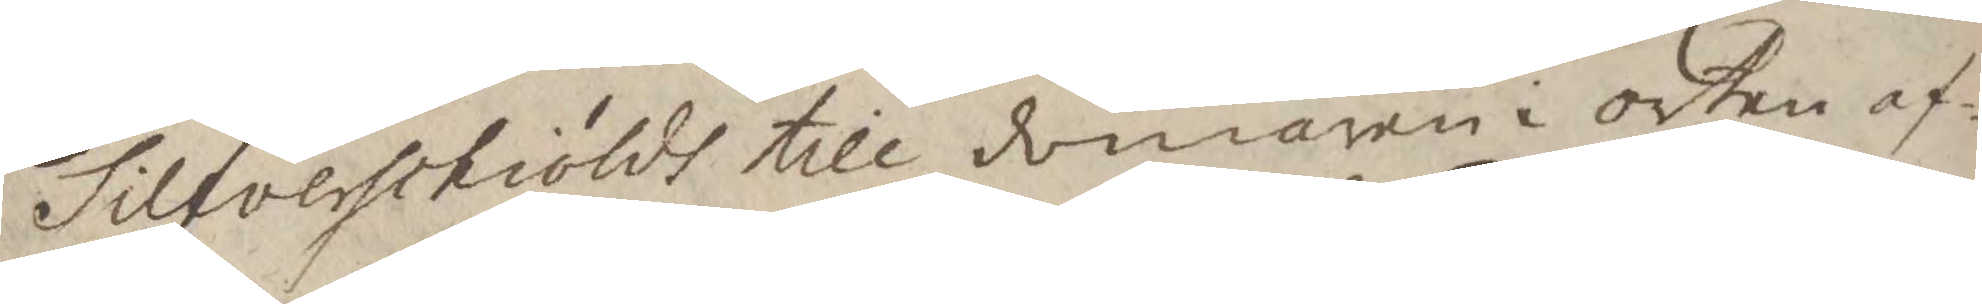Silfverschiölds till domaren i orten af¬
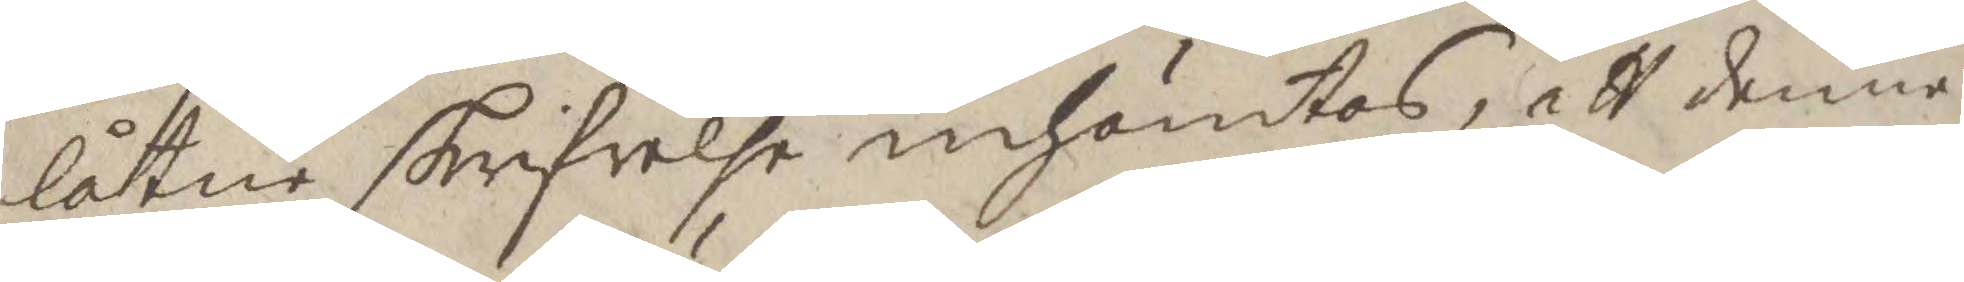låtne skrifvelse inhämtas, att denne
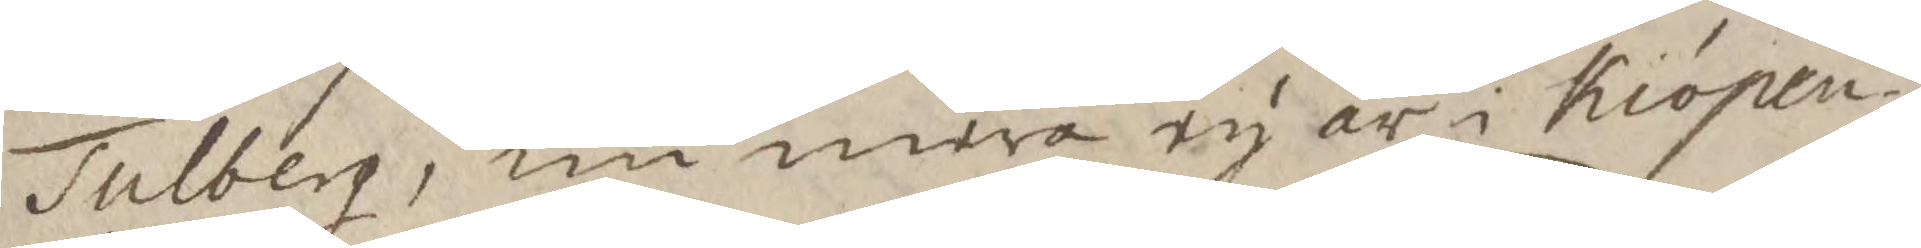Tulberg, nu mera ey är i Kiöpen¬
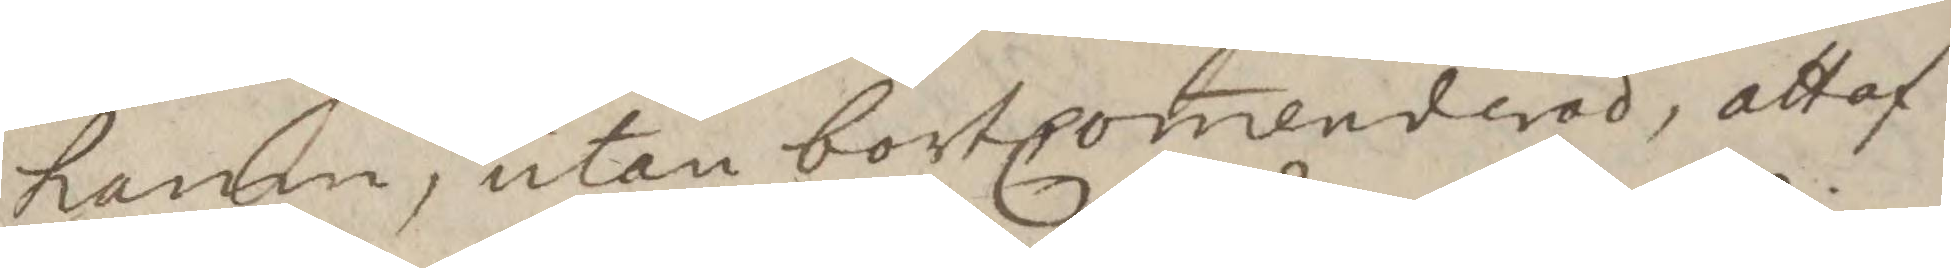hamn, utan bortcomenderad, att af
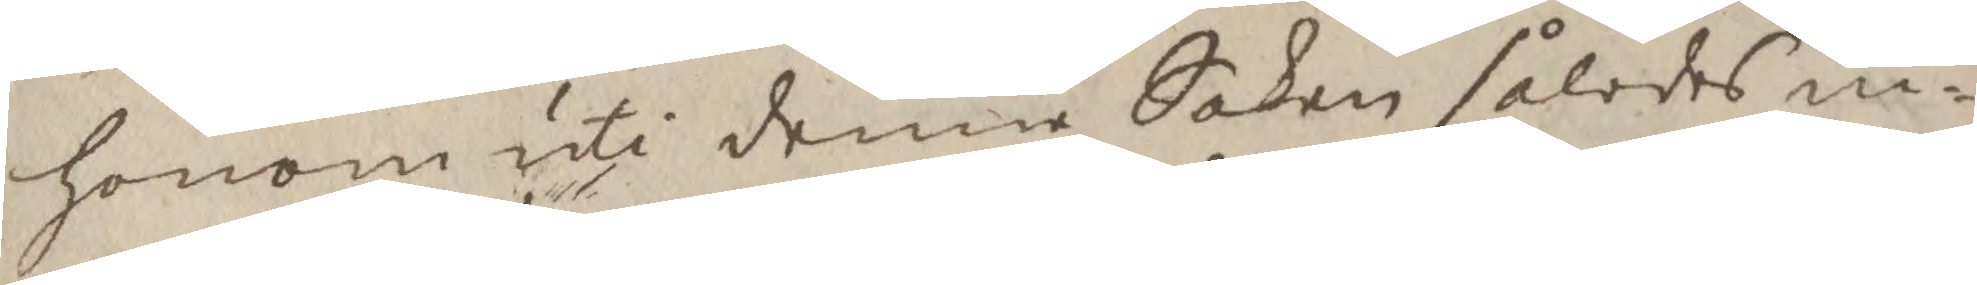honom uti denne Saken således in¬
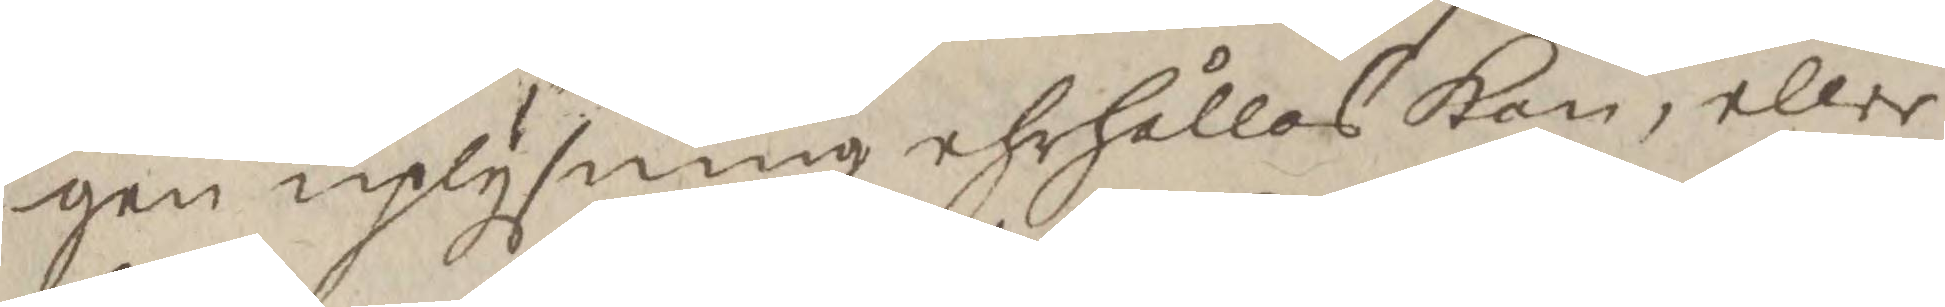gen uplysning ehrhållas Kan, eller
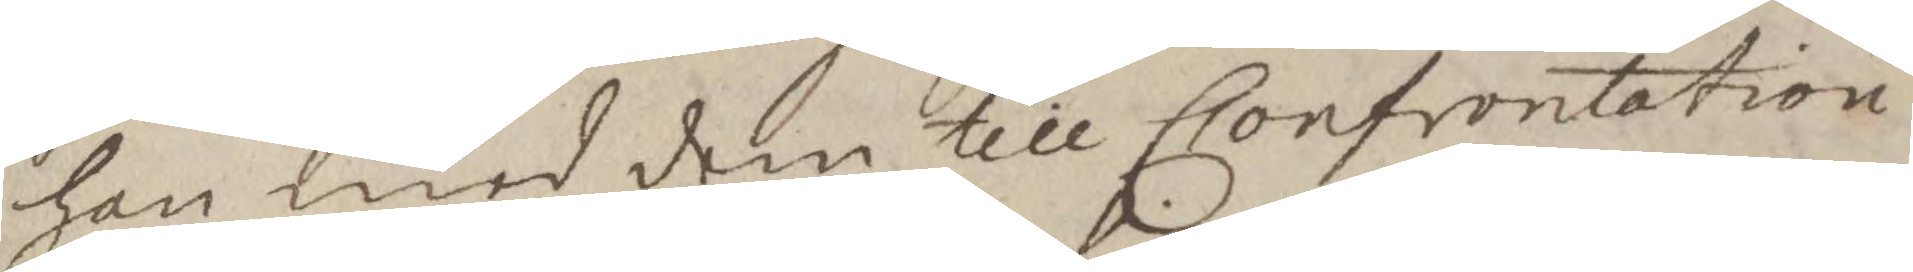han med dem till Confrontation
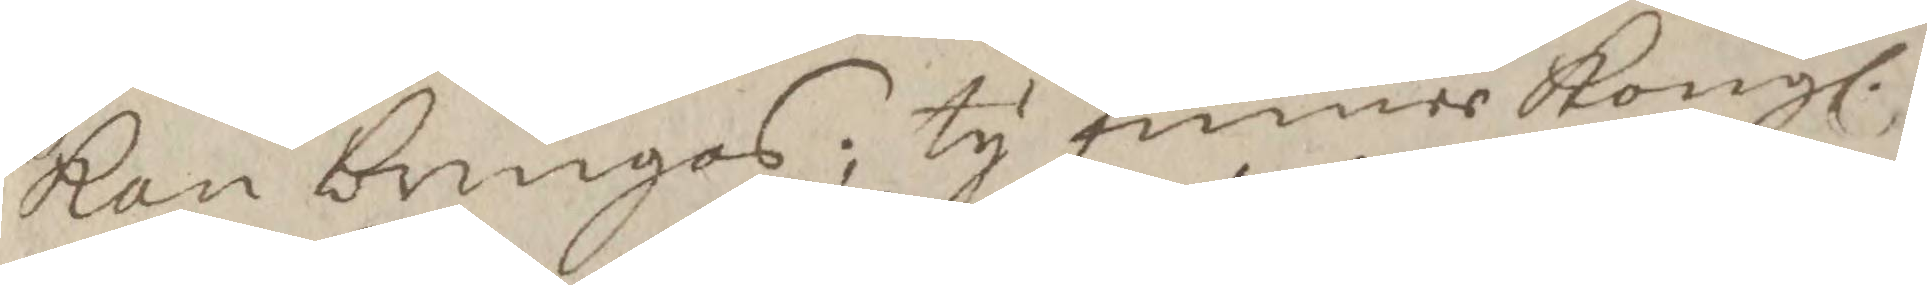Kan bringas; ty finner Kongl.
